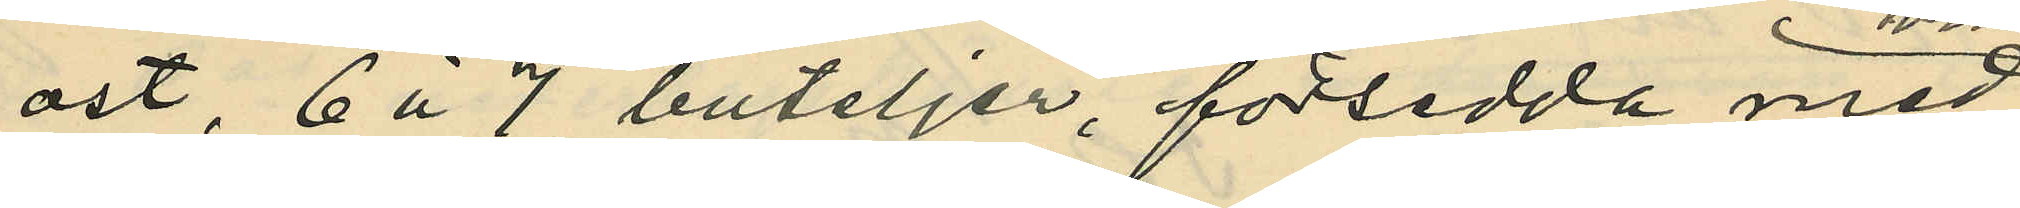ost, 6 á 7 buteljer, försedda med
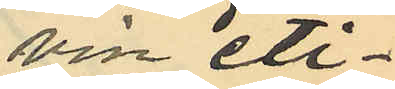vin eti¬
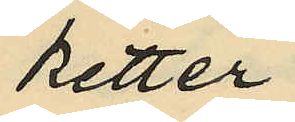ketter
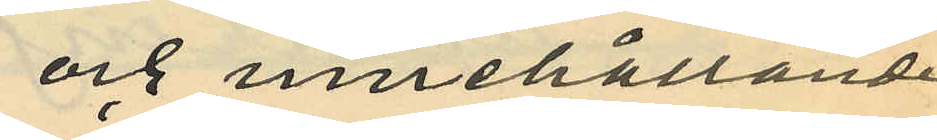och innehållande
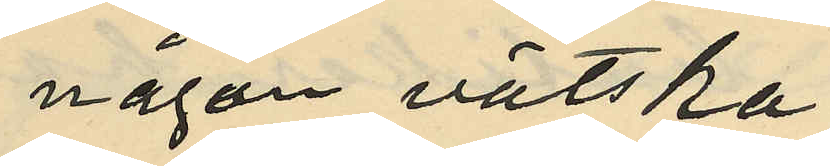någon vätska
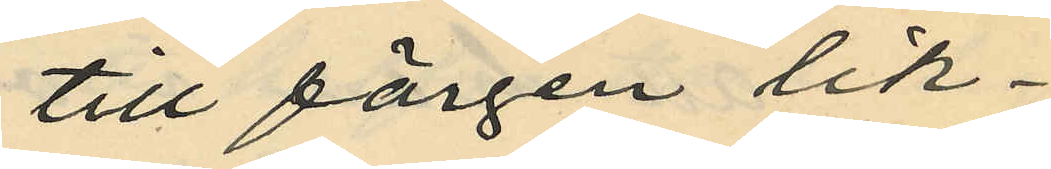till färgen lik¬
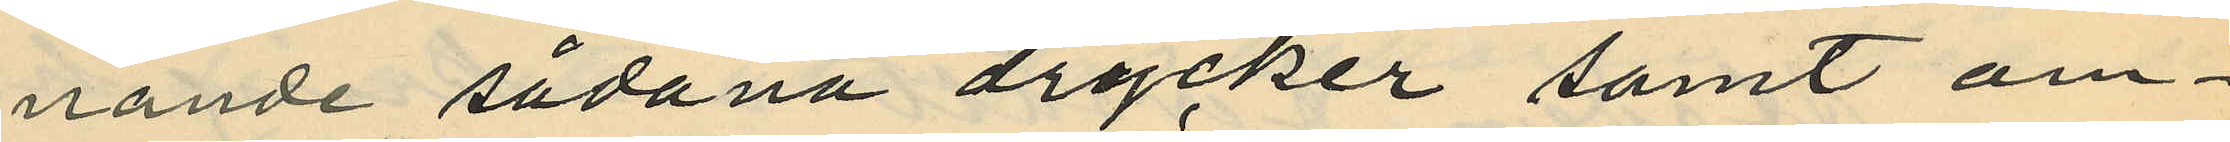nande sådana drycker samt om¬
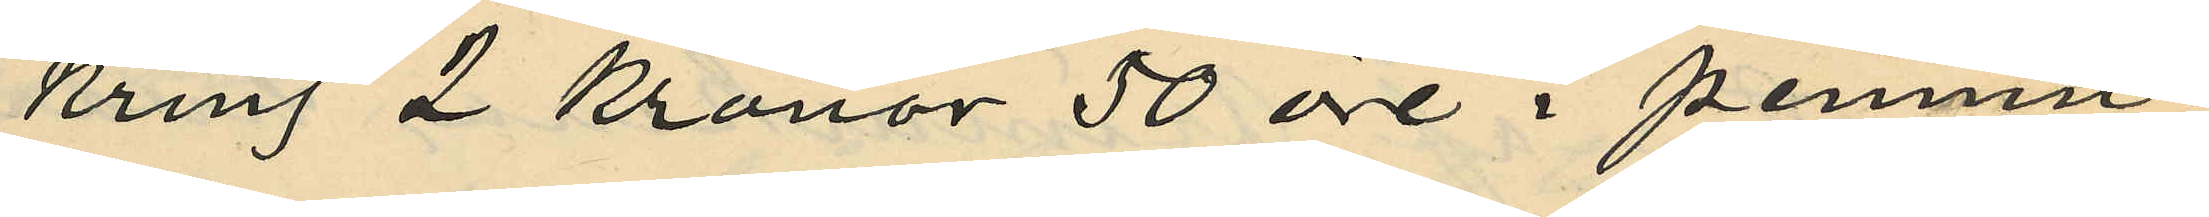kring 2 Kronor 50 öre i pennin¬
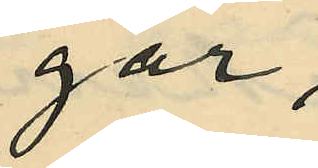gar;
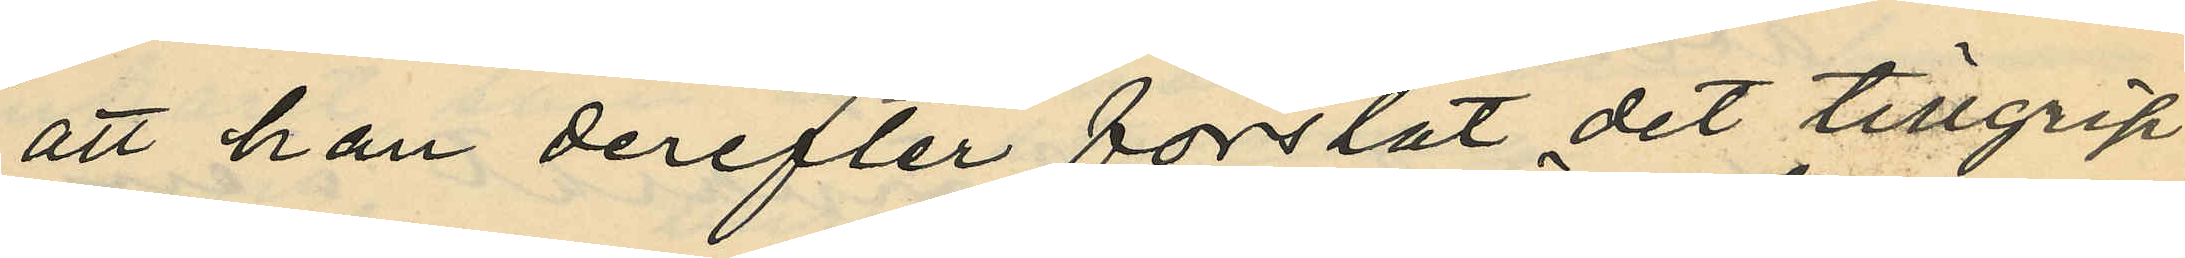att han derefter forslat det tillgrip¬
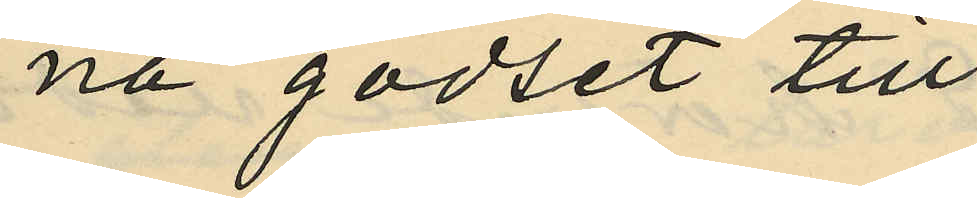na godset till
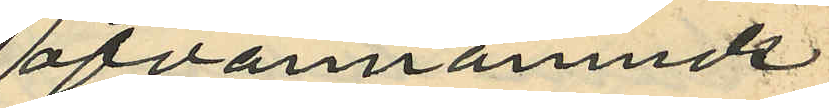ofvannämnde
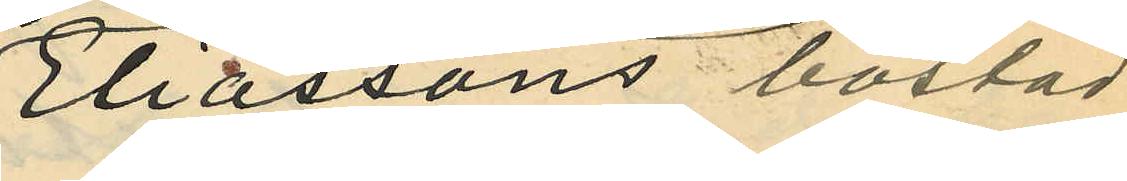Eliassons bostad
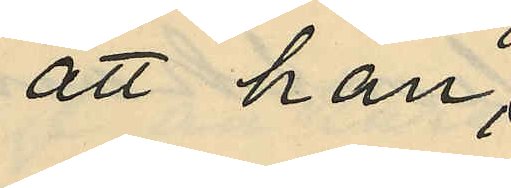att han
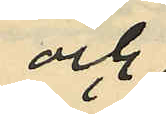och
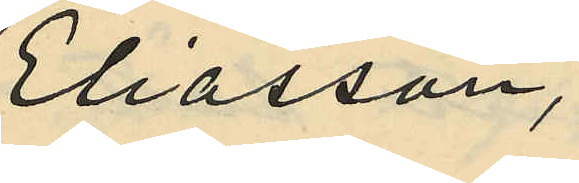Eliasson,
